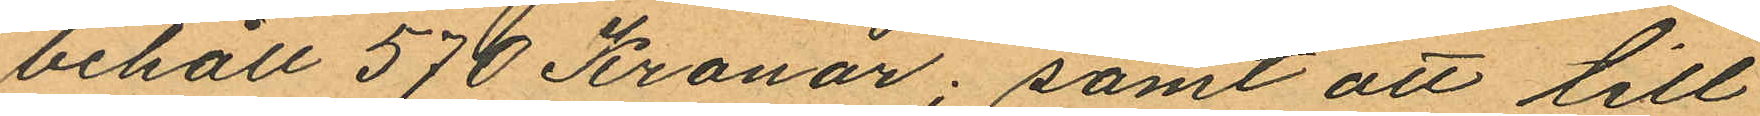behåll 570 Kronor; samt att till
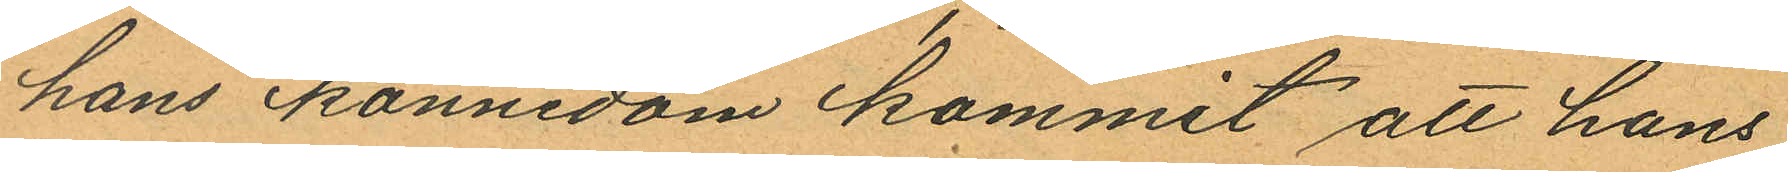hans kännedom kommit att hans
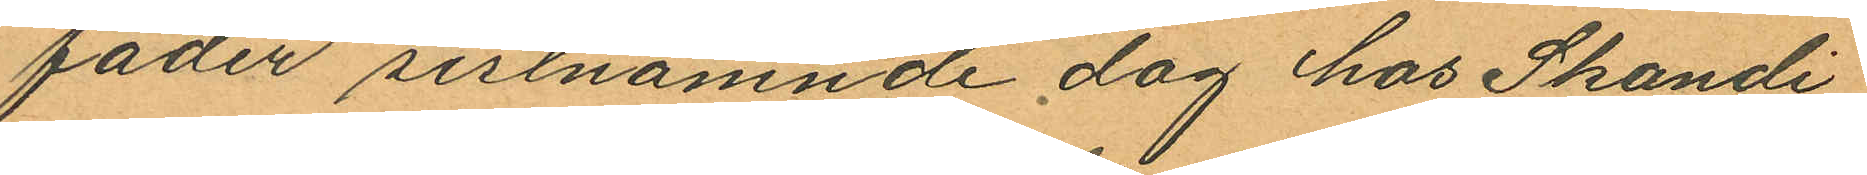fader sistnämnde dag hos Skandi
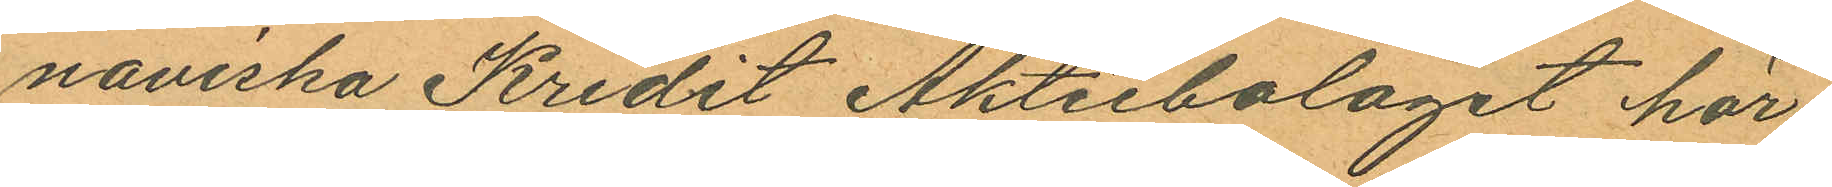naviska Kredit Aktiebolaget här
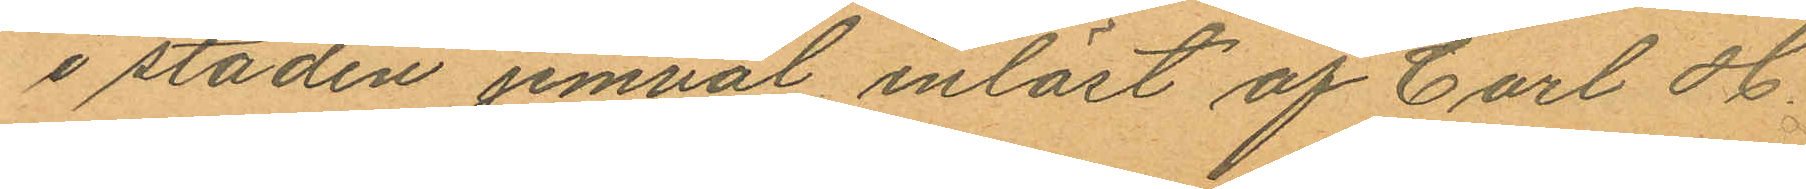i staden jemväl inlöst af Carl H.
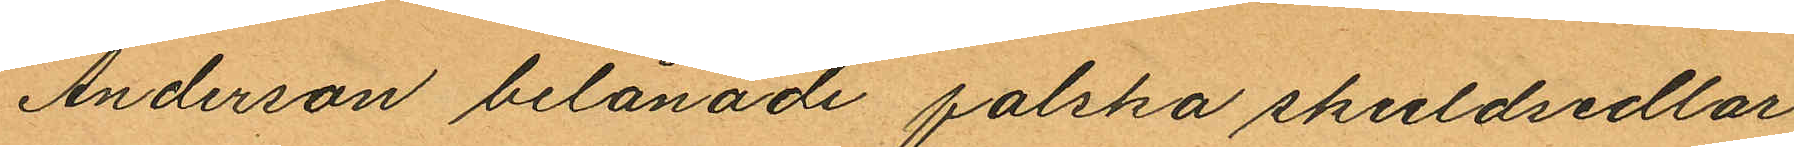Anderson belånade falska skuldsedlar
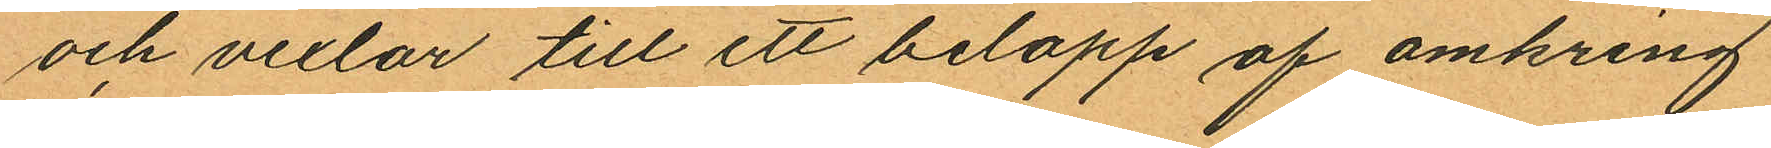och vexlar till ett belopp af omkring
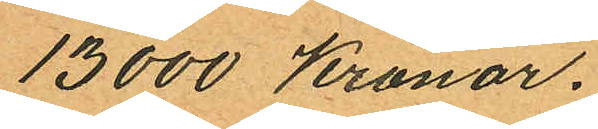13000 Kronor.
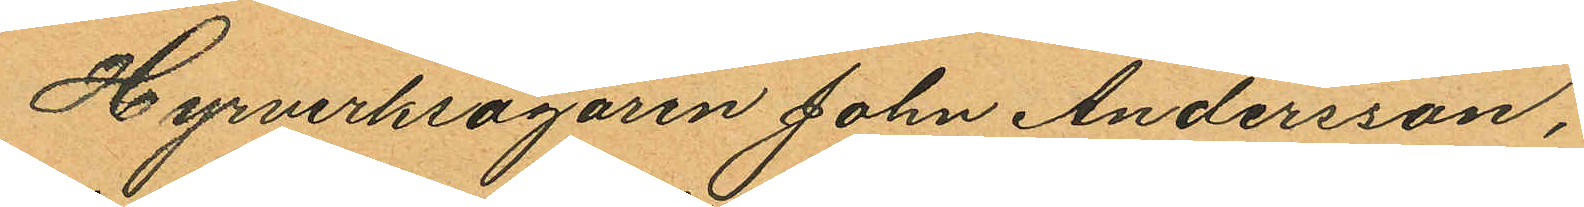Hyrverksägaren John Andersson,
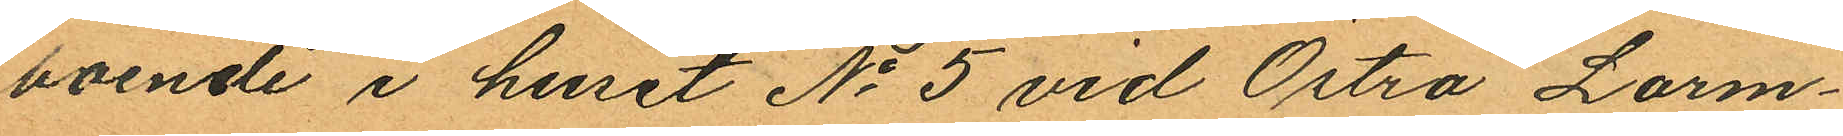boende i huset No 5 vid Östra Larm¬
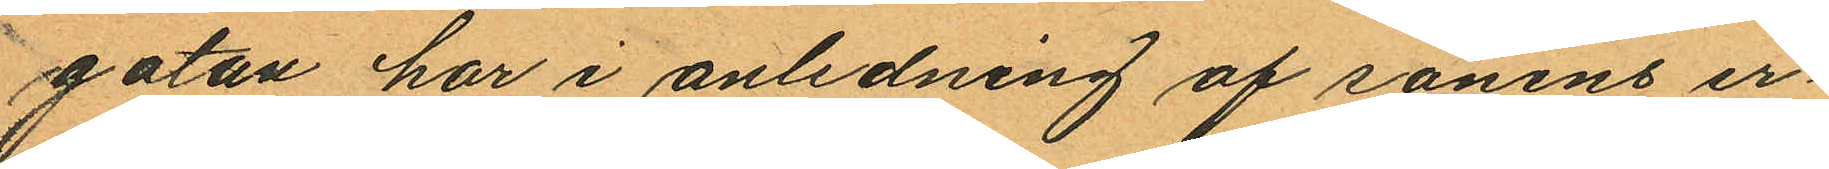gatan har i anledning af sonens er¬
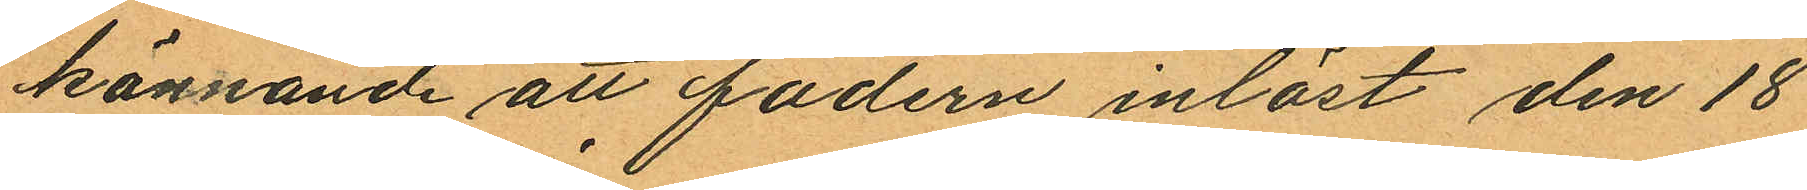kännande att fadern inlöst den 18
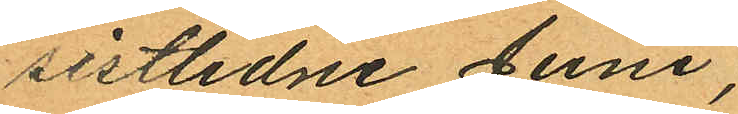sistlidne Juni;
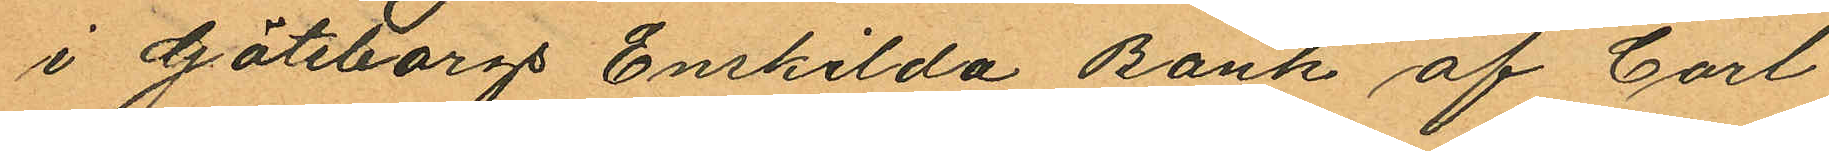i Göteborgs Enskilda Bank af Carl
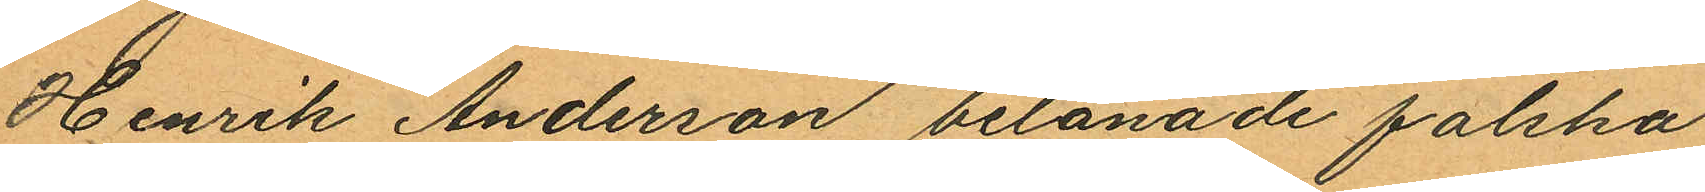Henrik Anderson belånade falska
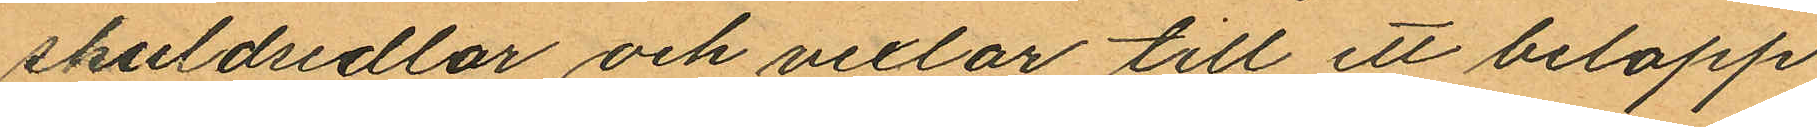skuldsedlar och vexlar till ett belopp
